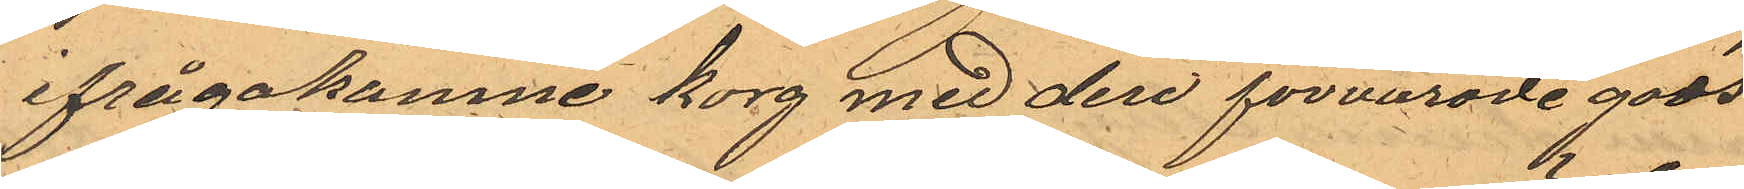ifrågakomne korg med deri förvarade gods
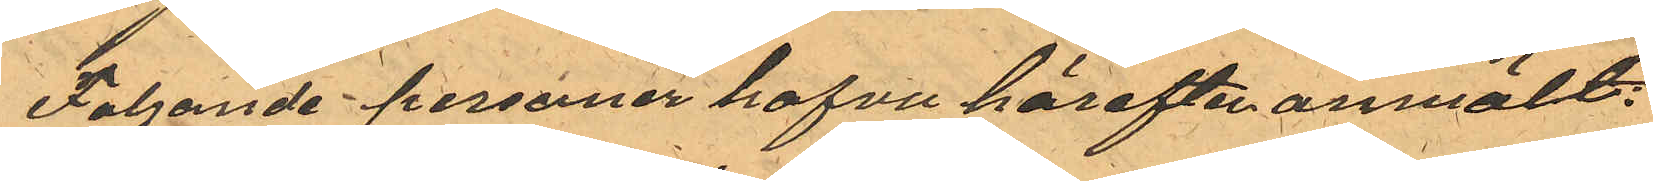Följande personer hafva härefter anmält:
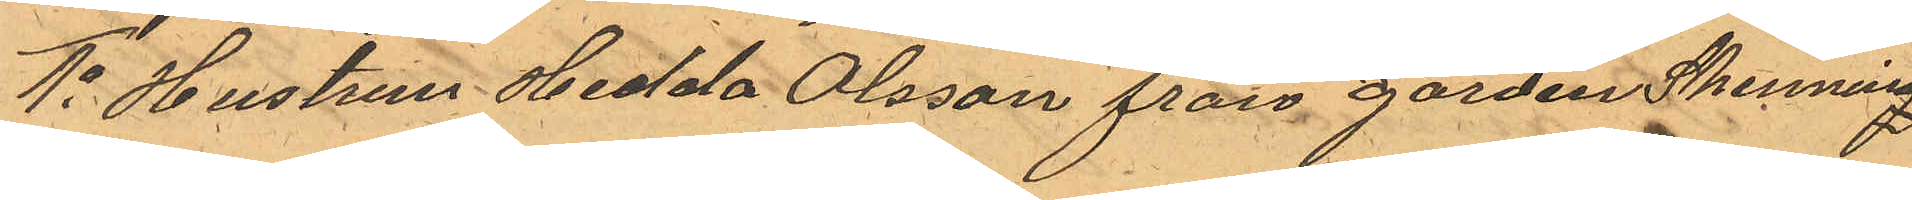1o Hustrun Hedda Olsson från gården Skenning¬
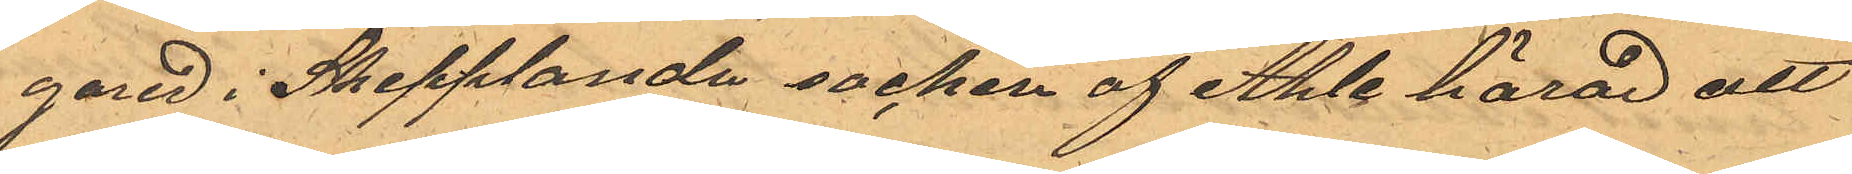gared i Skepplanda socken af Ahle härad att
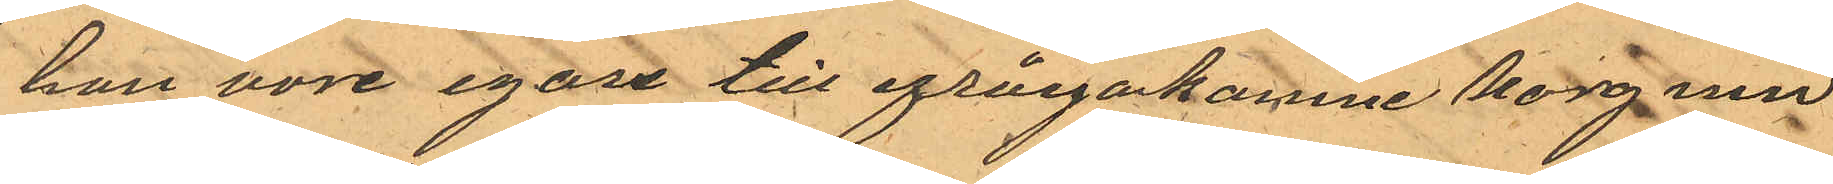hon vore egare till ifrågakomne korg med
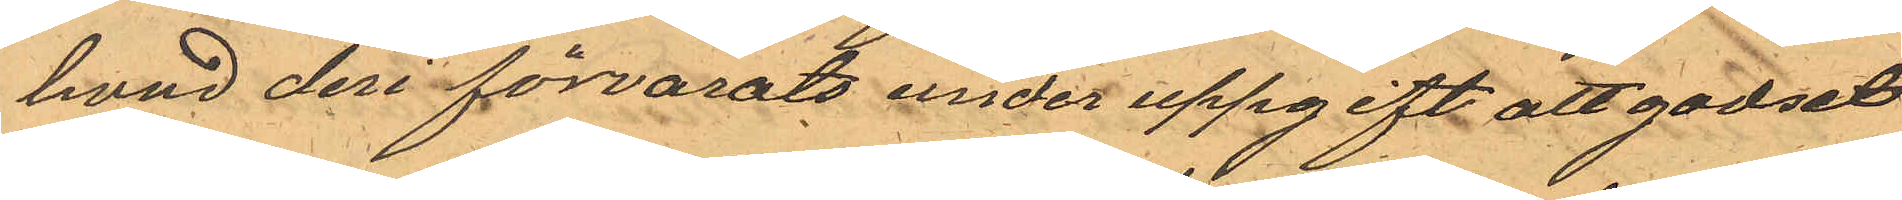hvad deri förvarats under uppgift att godset
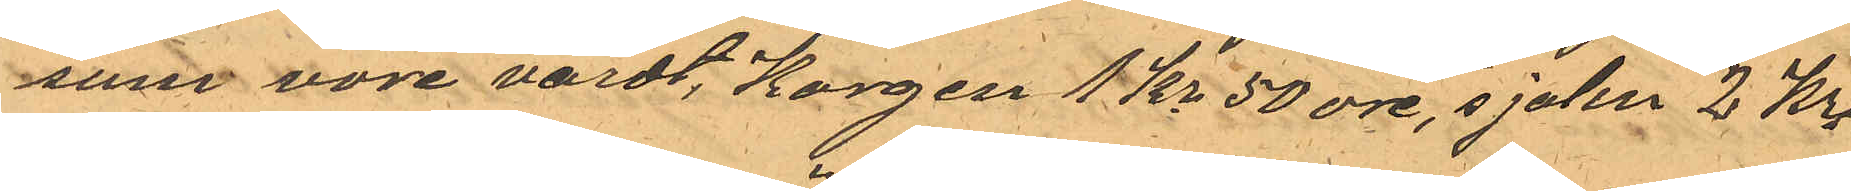som vore värdt, Korgen 1 Kr 50 öre, sjalen 2 Kr,
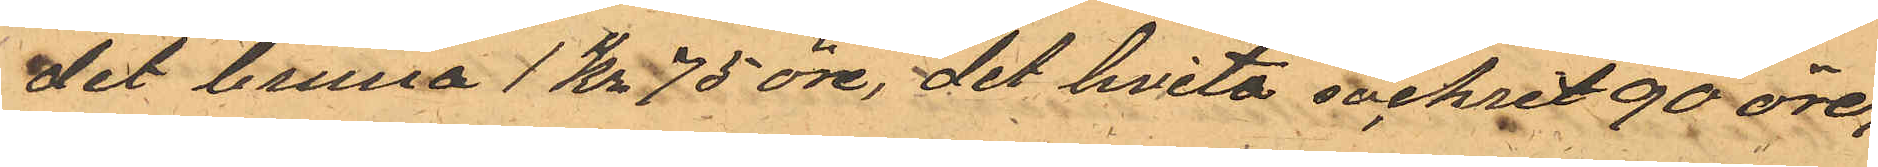det bruna 1 Kr 75 öre, det hvita sockret 90 öre,
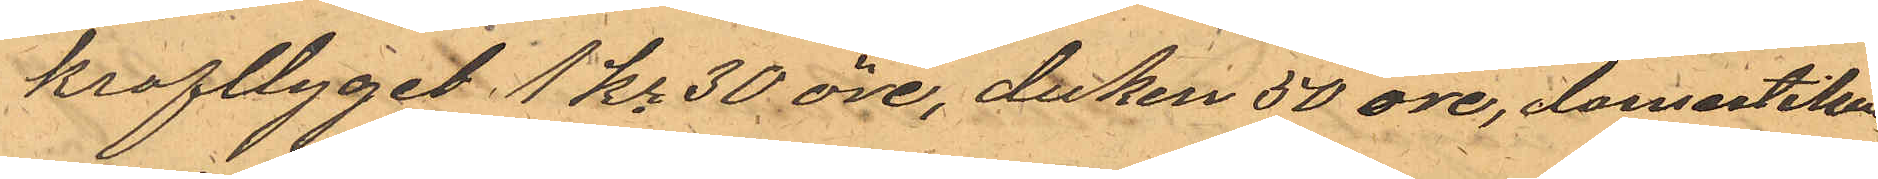krafttyget 1 Kr 30 öre, duken 50 öre, domestiken
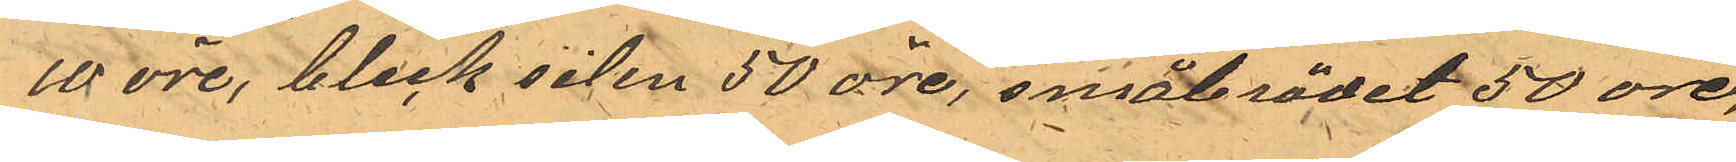10 öre, bleck silen 50 öre, småbrödet 50 öre,
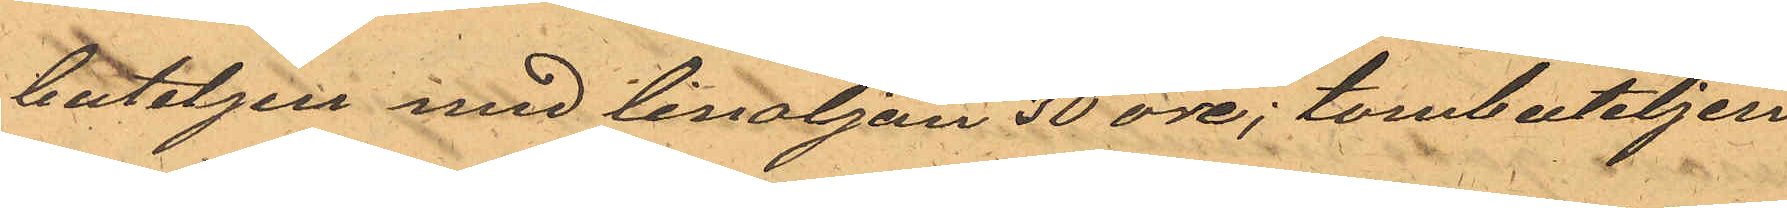buteljen med linoljan 30 öre; tombuteljen
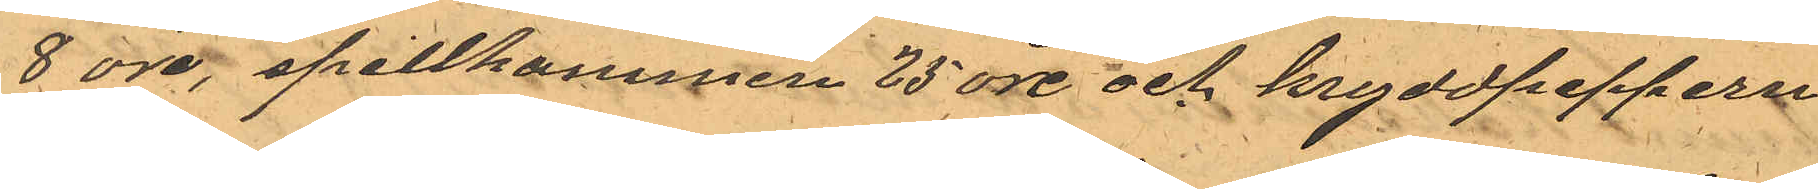8 öre, spillkummen 25 öre och kryddpeppern
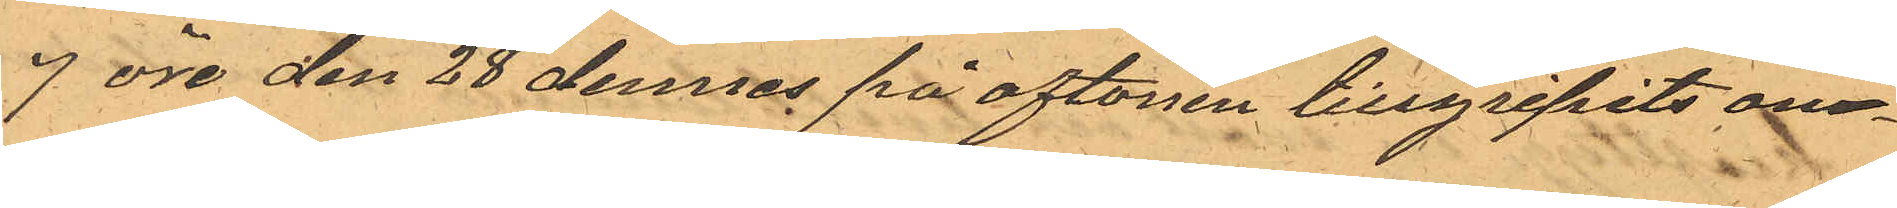9 öre den 28 dennes på aftonen tillgripits om¬
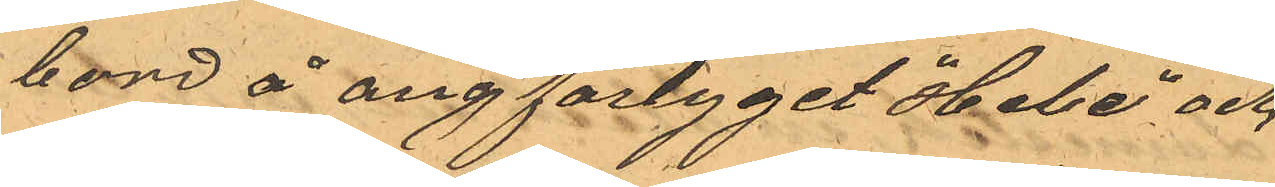bord å ångfartyget "Hebe" och
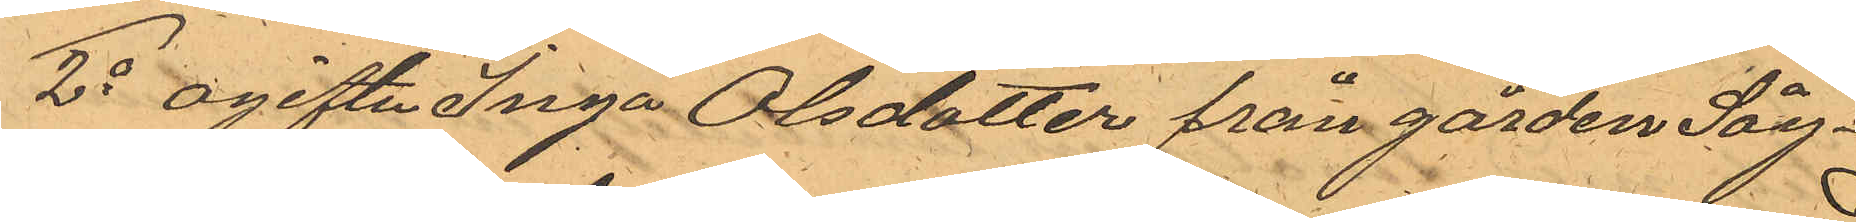2o ogifta Inga Olsdotter från gården Såg¬
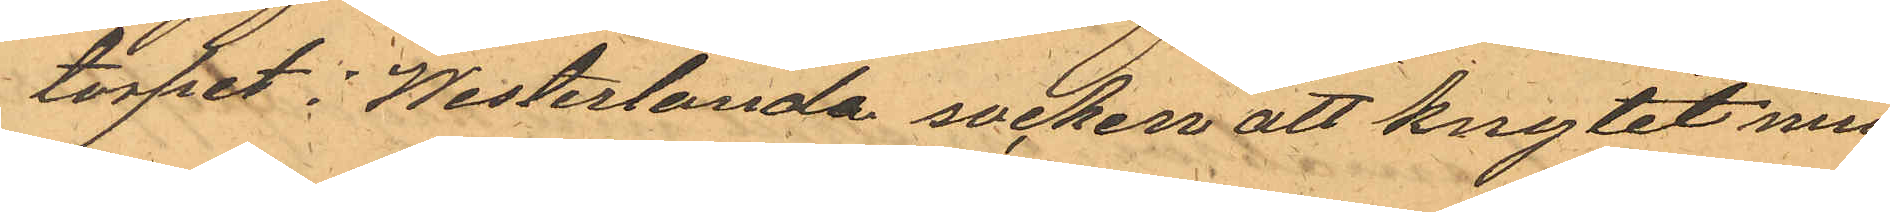torpet i Westerlanda socken att knytet med
